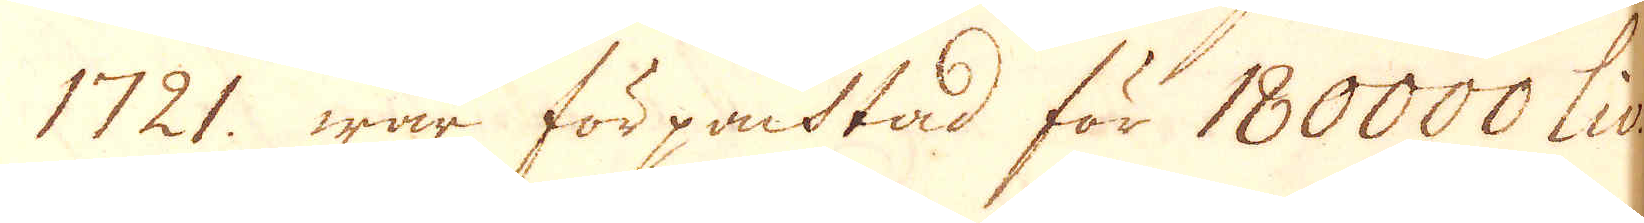1721. war förpacktad för 180000 Liv:,
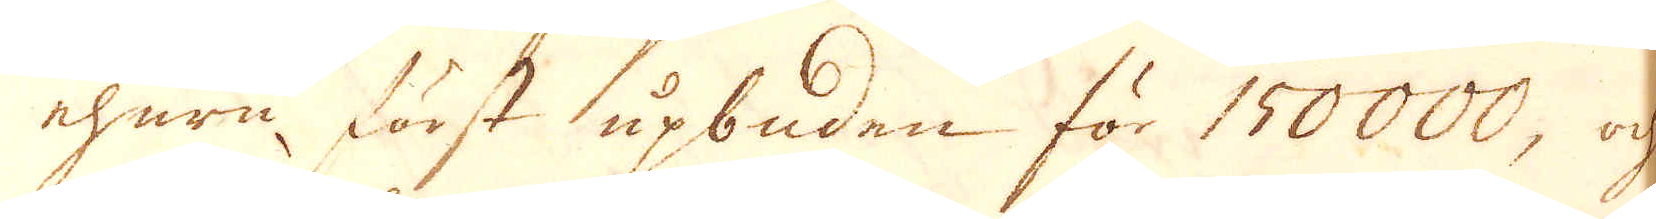ehuru först upbuden för 150000, och
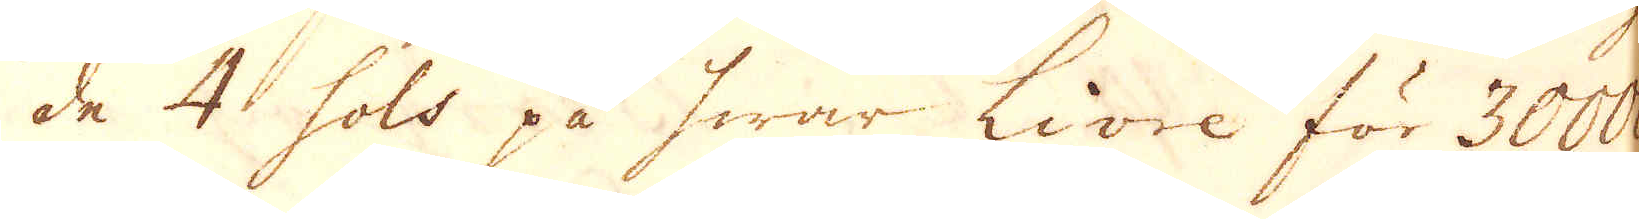de 4 sols på hwar Livre för 30000
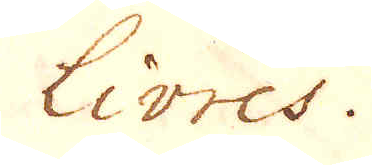Livres.
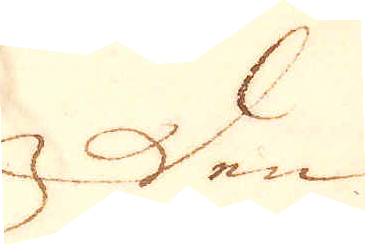Den
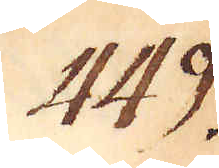449.
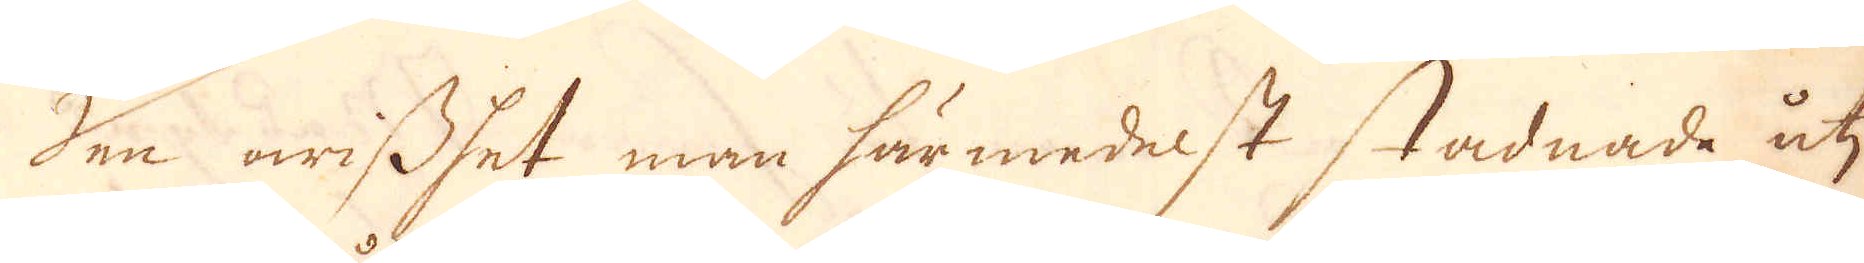Den owisshet man härmedelst stadnade uti
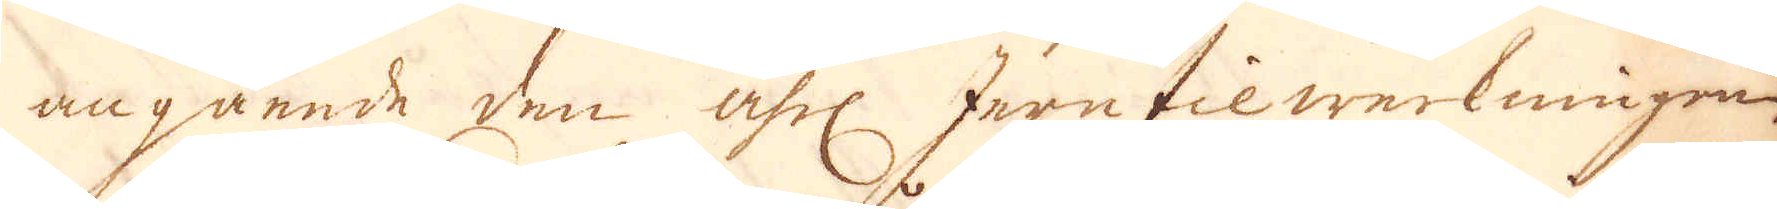angående den åhrl Jern tilwerkningen
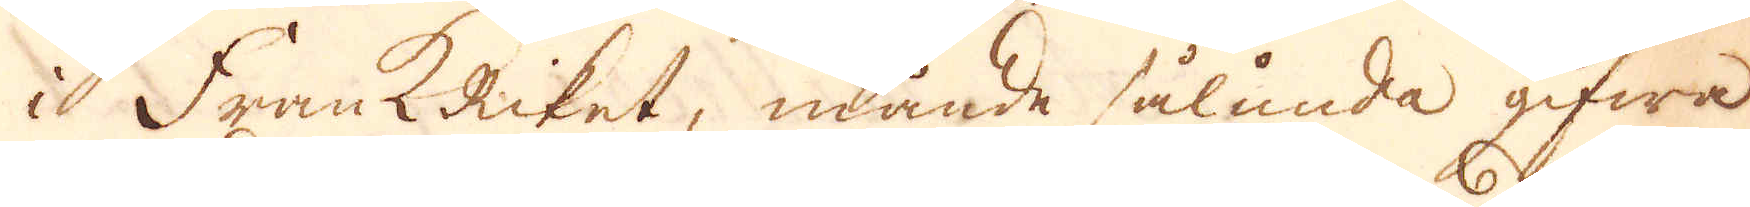i Frank Riket, månde sålunda gifwa
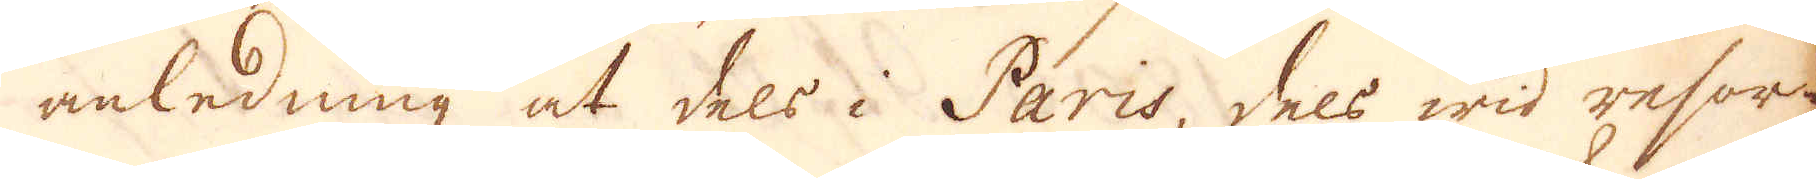anledning at dels i Paris, dels wid resor-
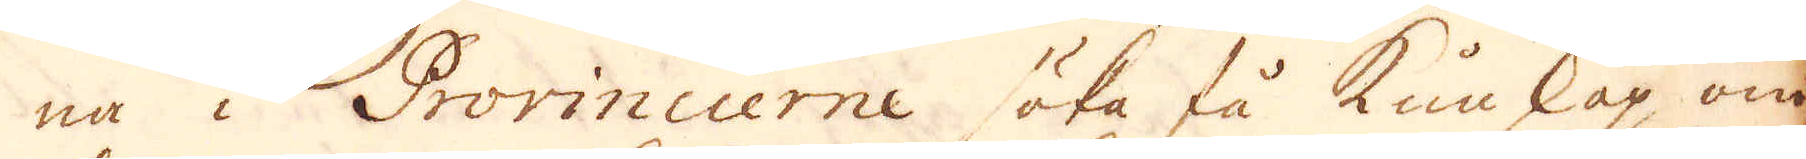na i Provincierne söka få kunskap om
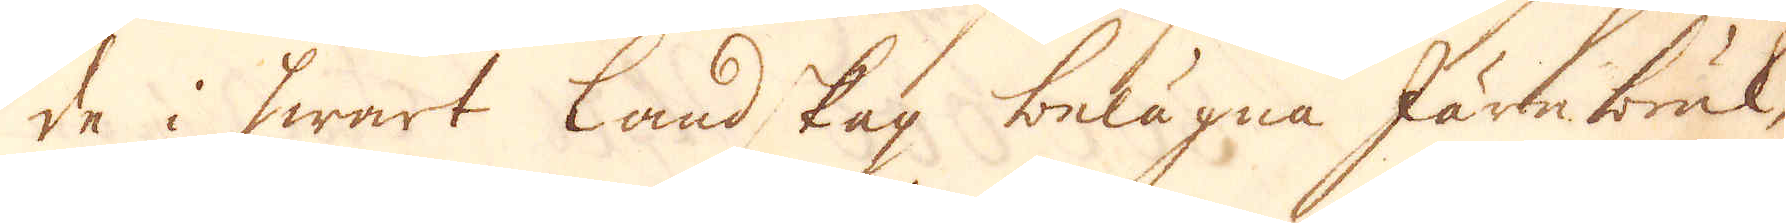de i hwart landskap belägna Järnbruk,
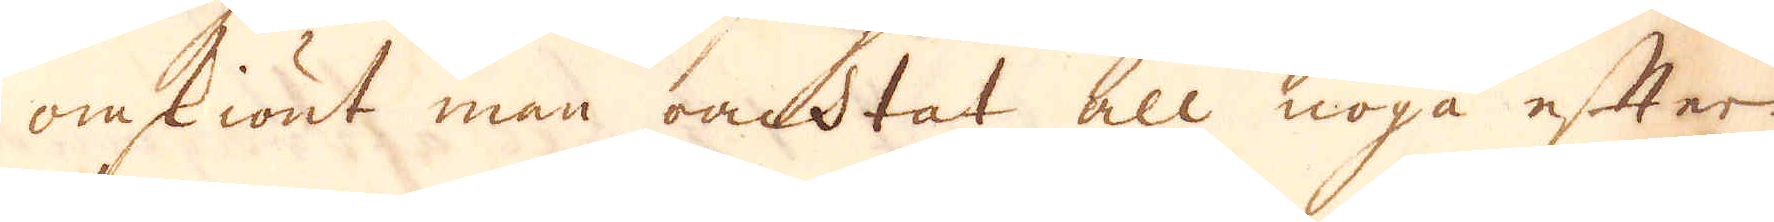omskiönt man oachtat all noga efter-
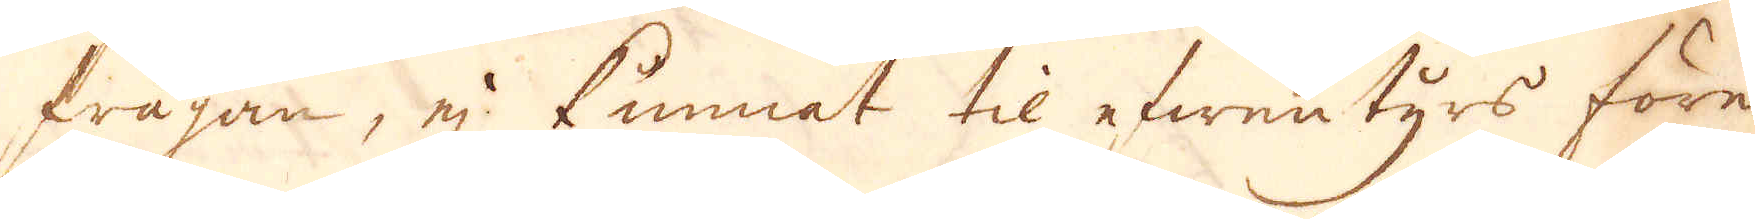frågan, ej kunnat til efwentyrs före-
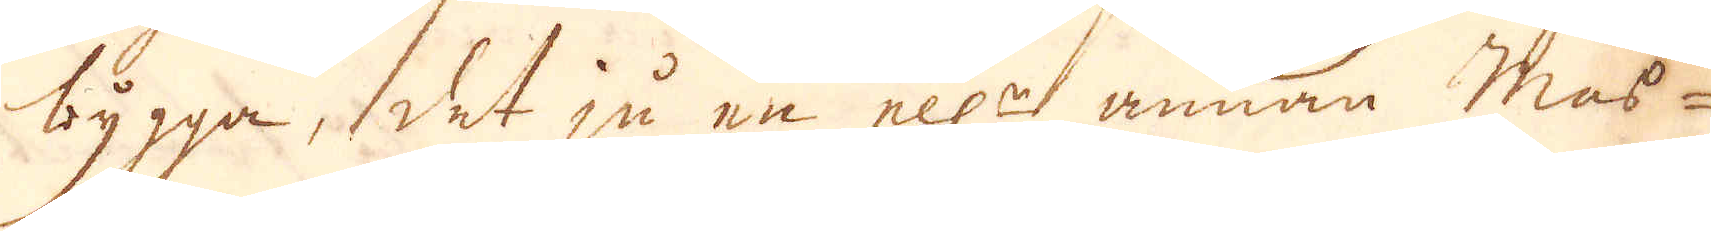bygga, det ju en ell:r annan Mas-
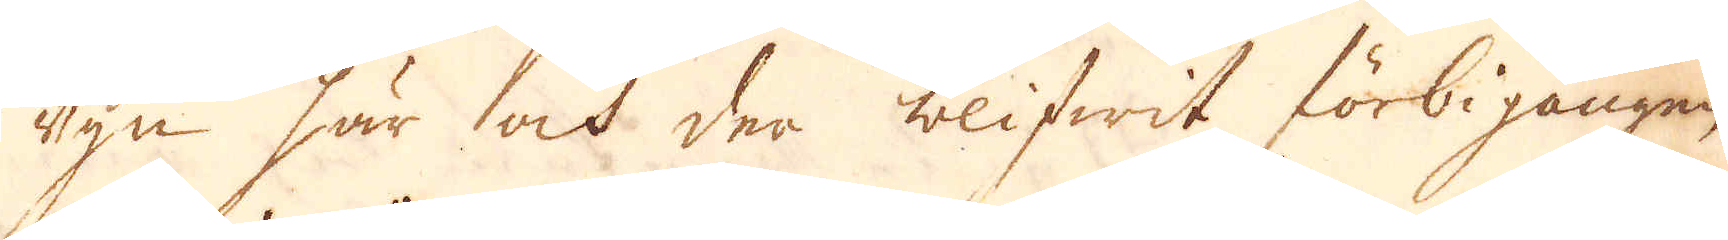ugn här och der blifwit förbigången,
